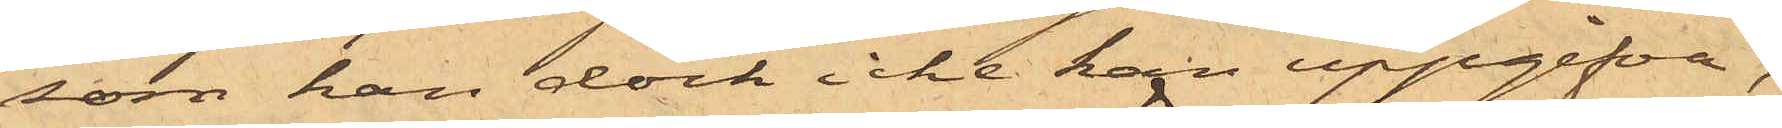som han dock icke han uppgifva,
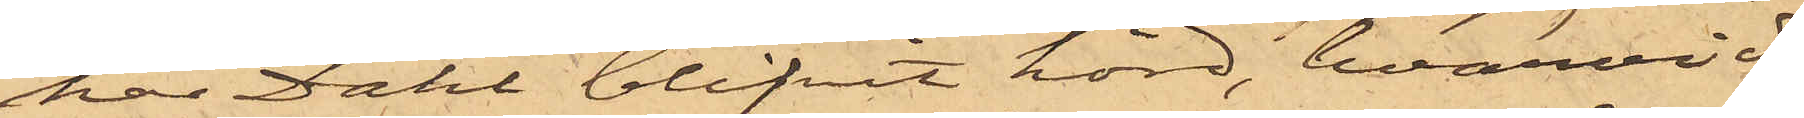har Dahl blifvit hörd, hvarvid
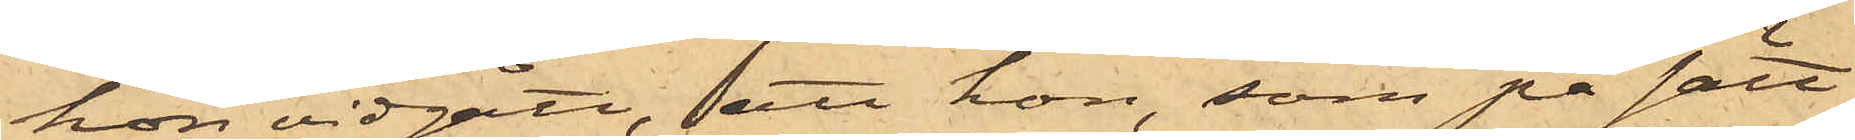hon vidgått, att hon, som på sätt
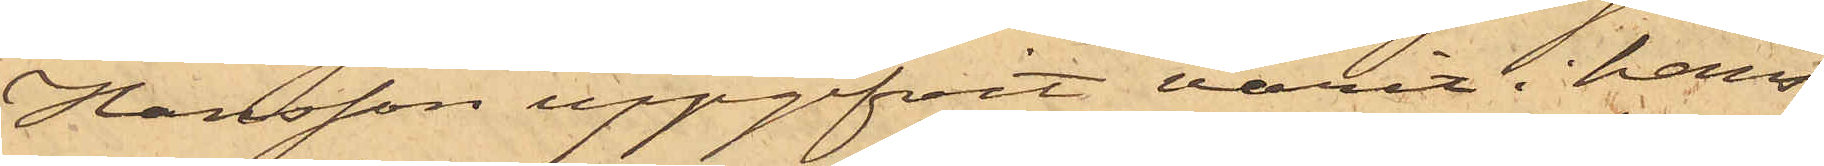Hansson uppgifvit varit i hans
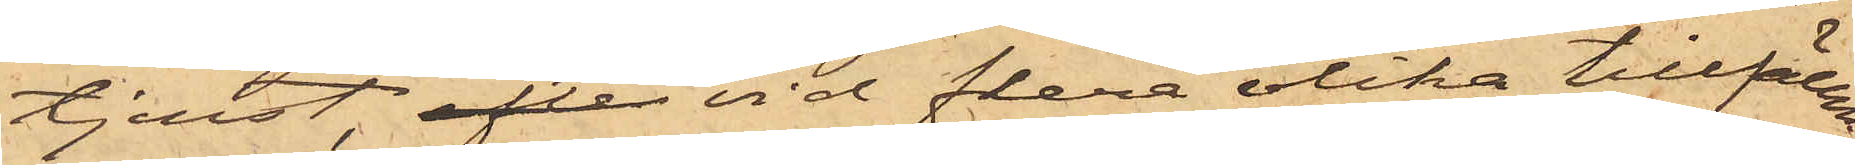tjenst, efter vid flera olika tillfällen
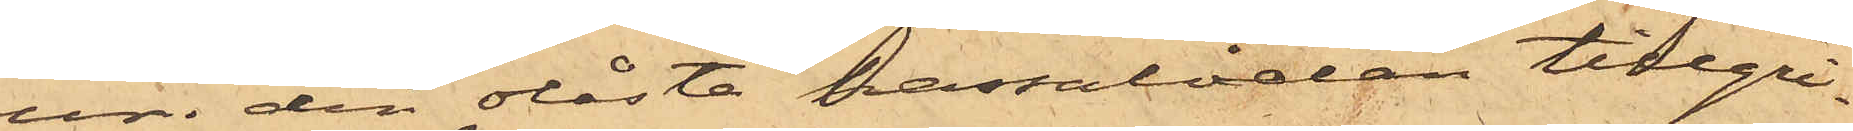ur den olåsta kassalådan tillgri¬
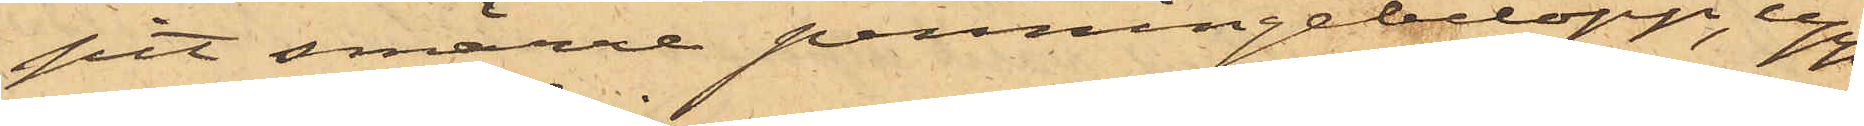pit smärre penningebelopp, upp¬
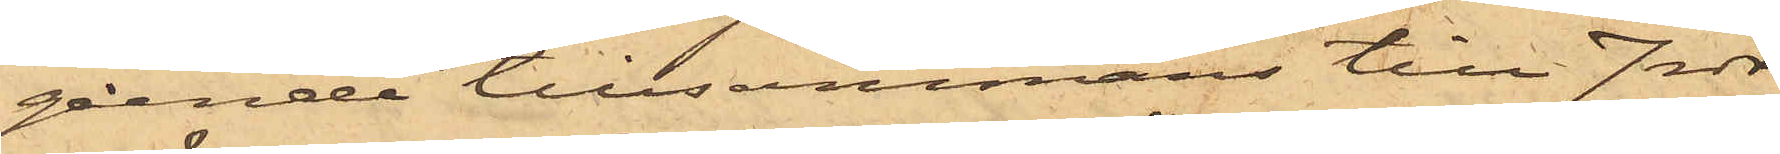gående tillsammans till 7 rdr
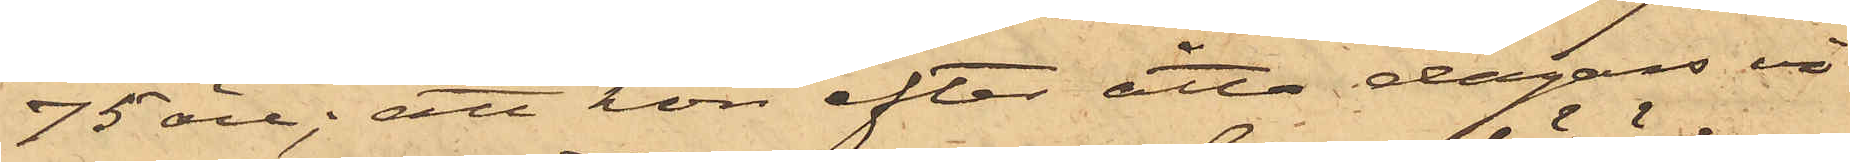75 öre; att hon efter åtta dagars vi¬
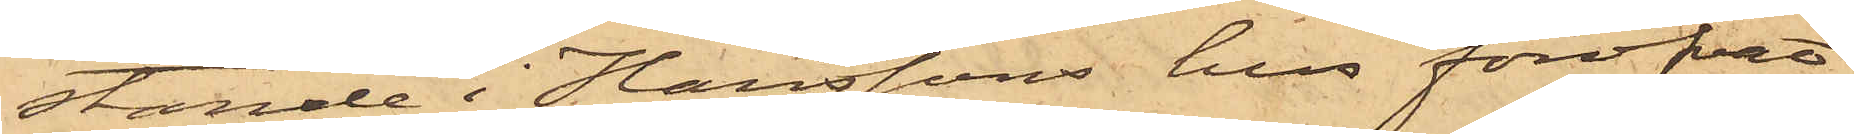stande i Hanssons hus föröfvat
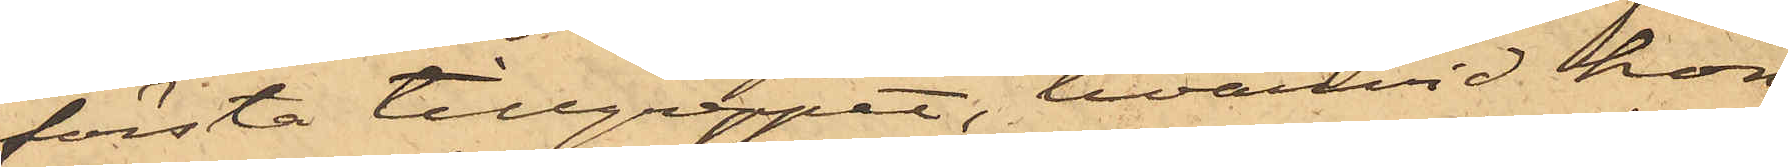första tillgreppet, hvarvid hon
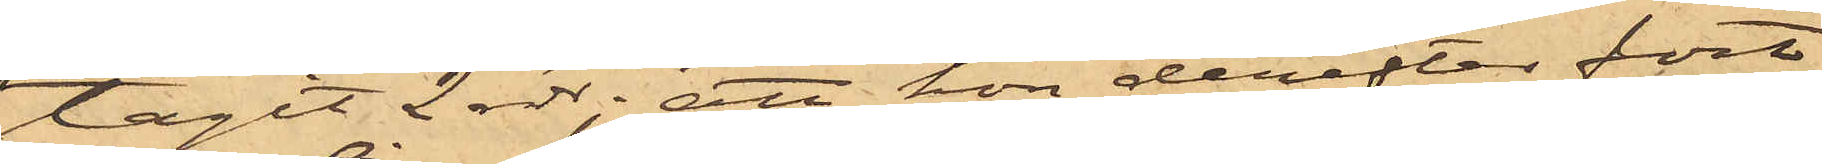tagit 2 rdr; att hon derefter fort¬
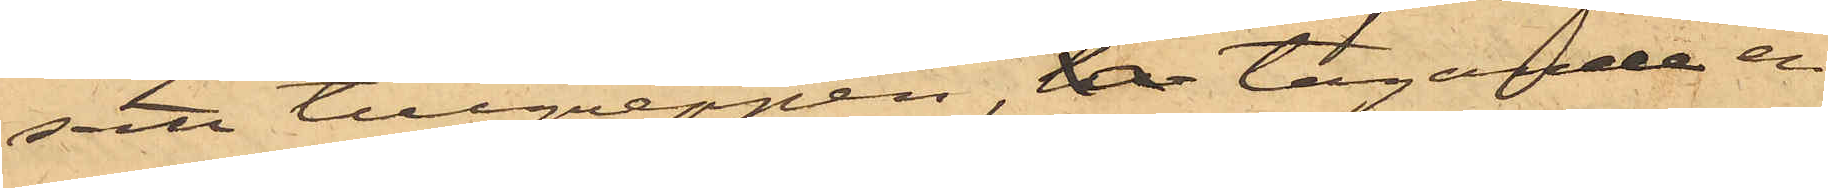satt tillgreppen, tagande en
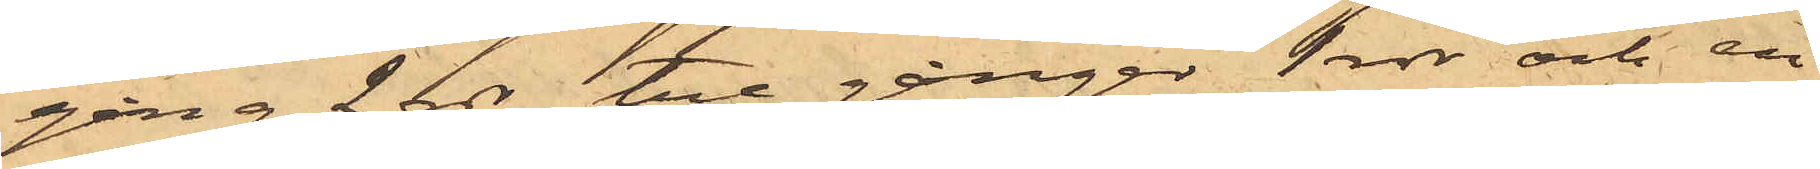gång 2 rdr, tre gånger 1 rdr och en
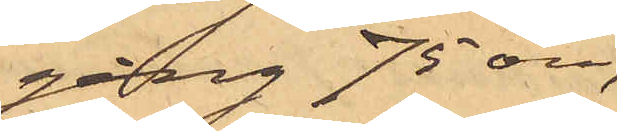gång 75 öre,
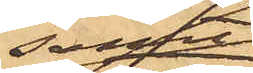samt
